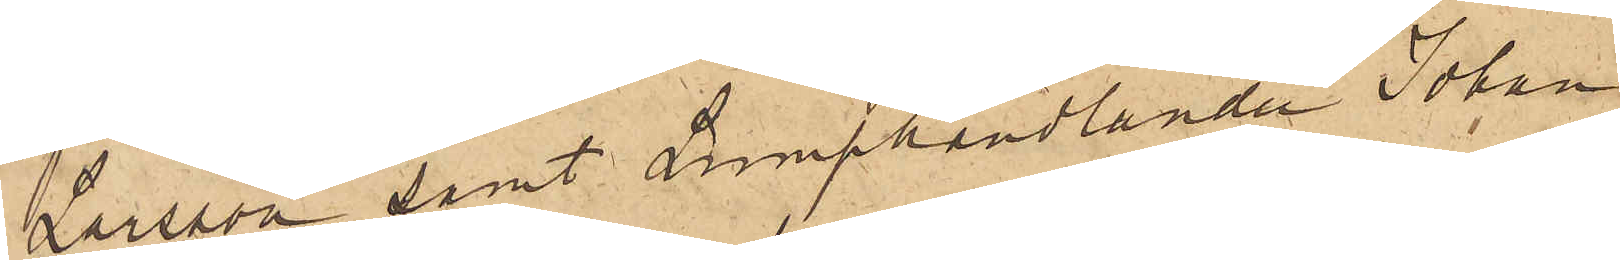Larsson samt Lumphandlanden Johan
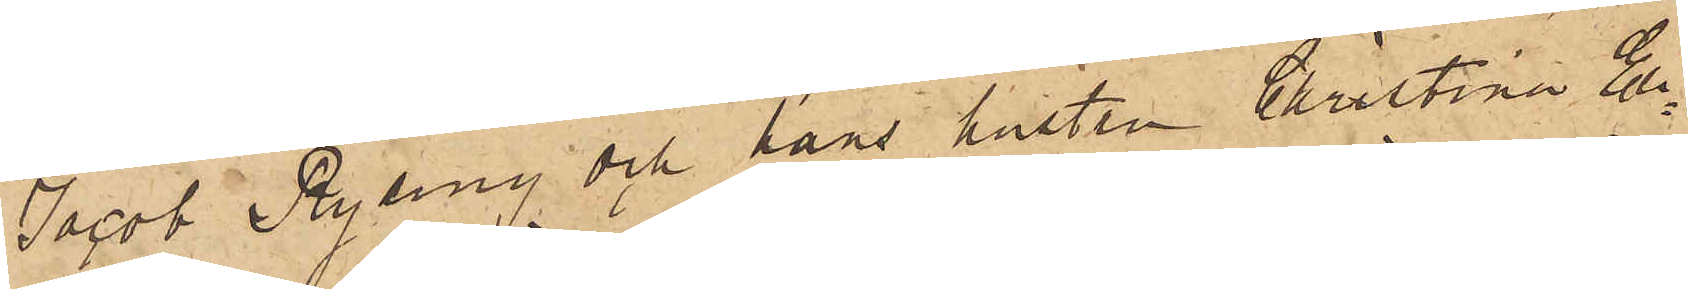Jacob Ryding och hans hustru Christina Eli¬
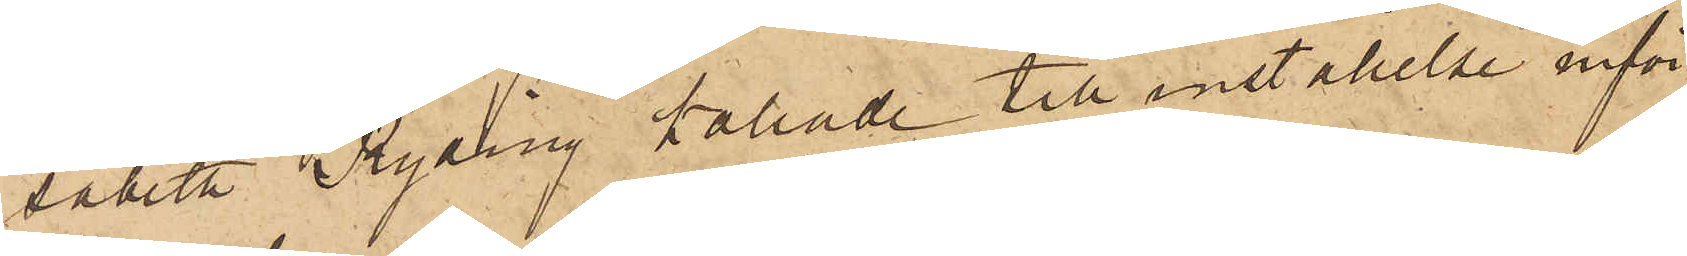sabeth Ryling kallade till inställelse inför
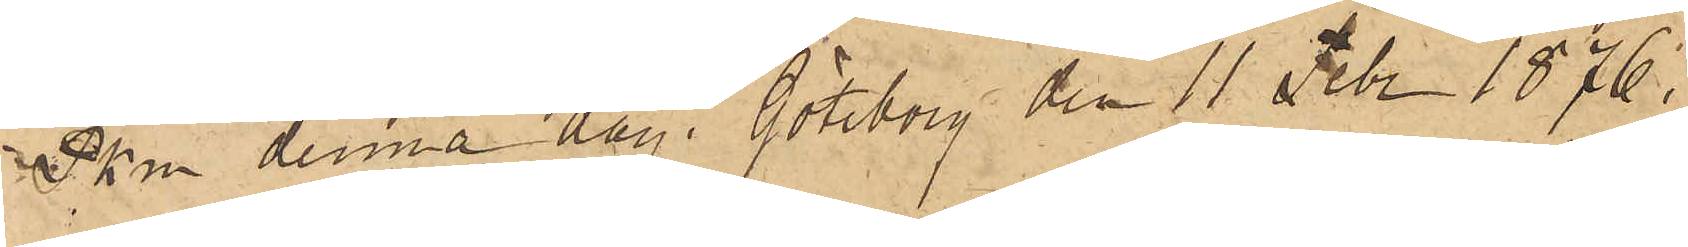Pkn denna dag. Göteborg den 11 Febr 1876.
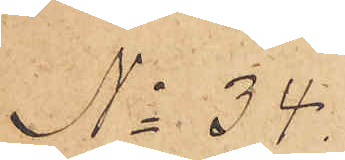No 34.
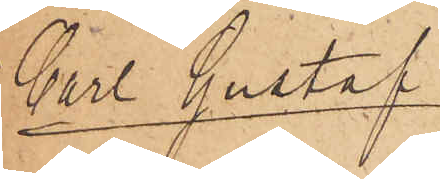Carl Gustaf
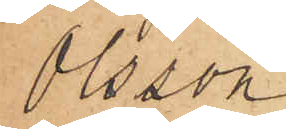Olsson
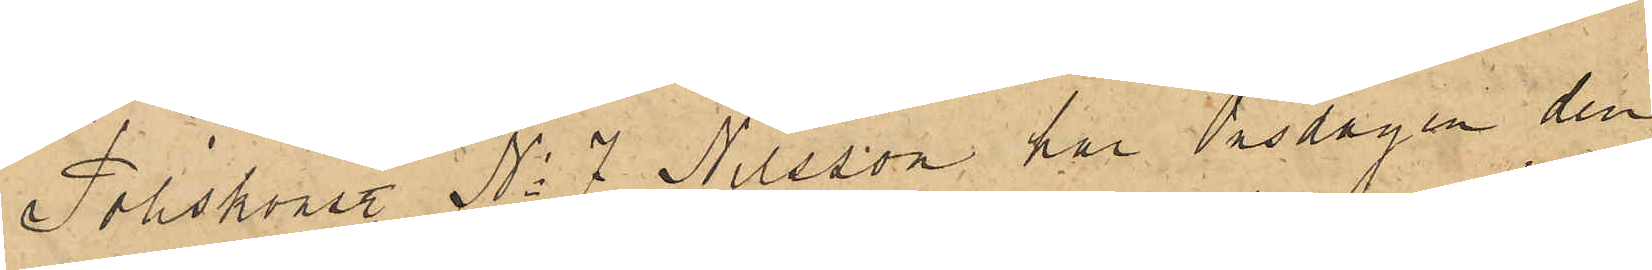Poliskonstl No 7 Nilsson har Onsdagen den
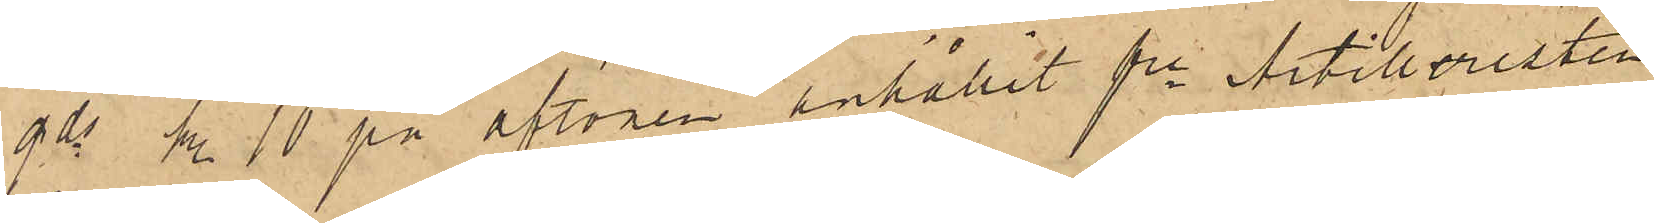9 ds kl. 10 på aftonen anhållit fre Artilleristen
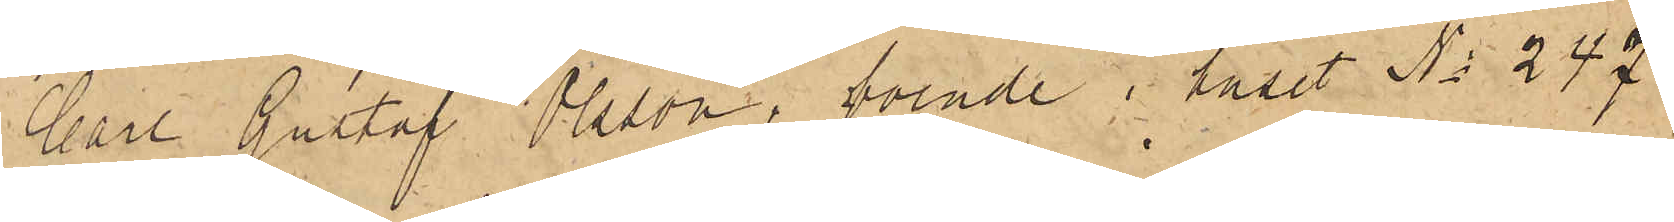Carl Gustaf Olsson, boende i huset No 247
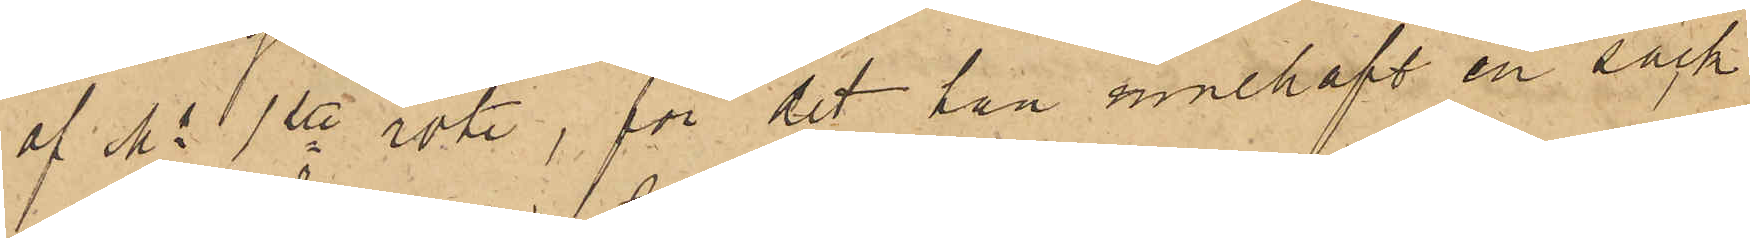af Ms 1ste rote, för det han innehaft en säck
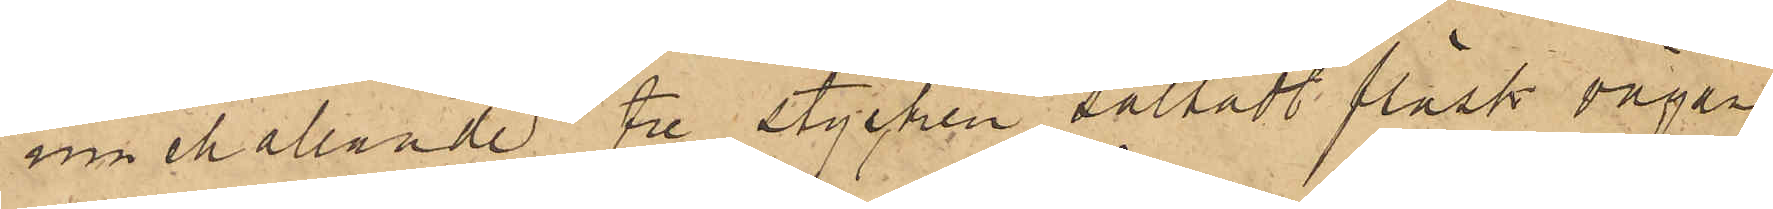innehållande tre stycken saltadt fläsk vägan¬
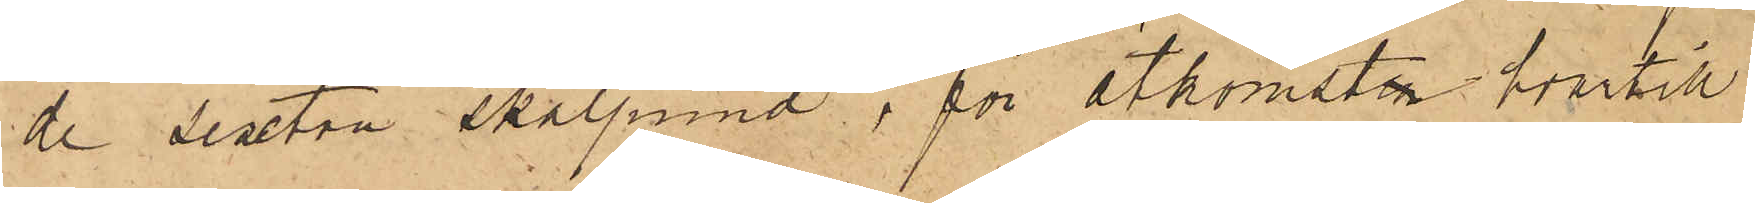de sexton skålpund, för åtkomsten hvartill
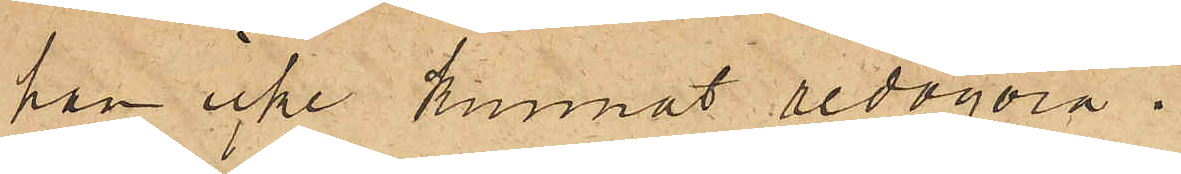han icke kunnat redogöra.
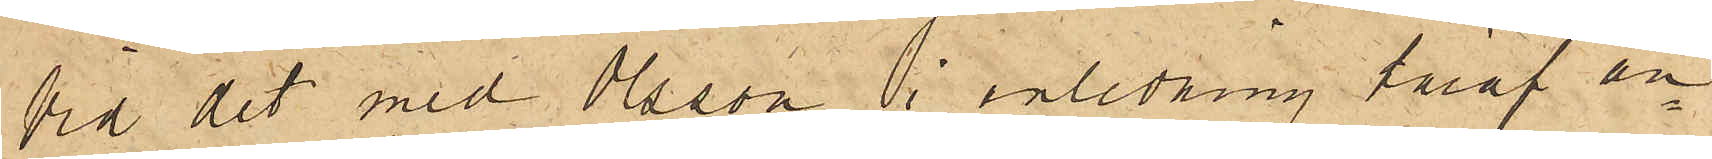Vid det med Olsson i anledning häraf an¬
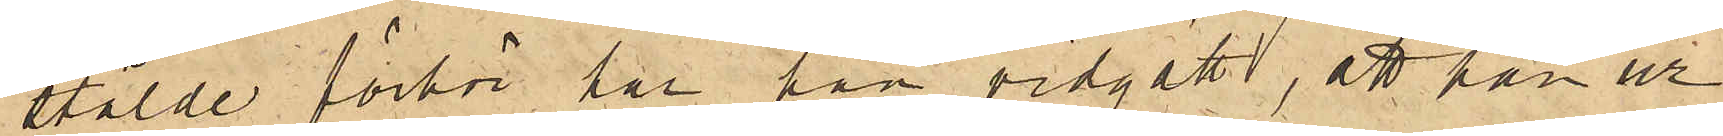stälde förhör har han vidgått, att han ur
